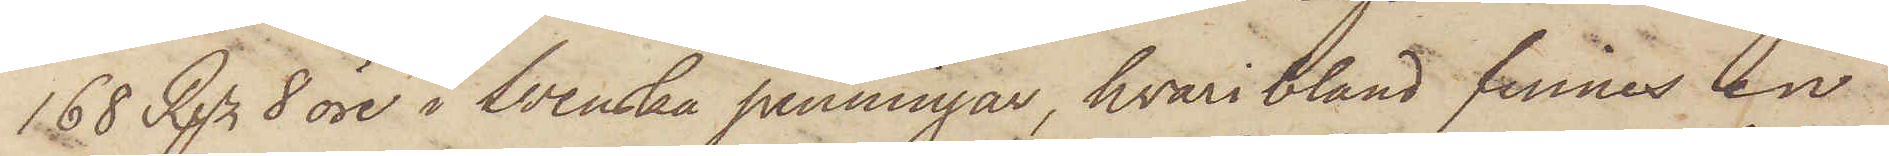168 Rgr 8 öre i Svenska penningar, hvari bland finnes in¬
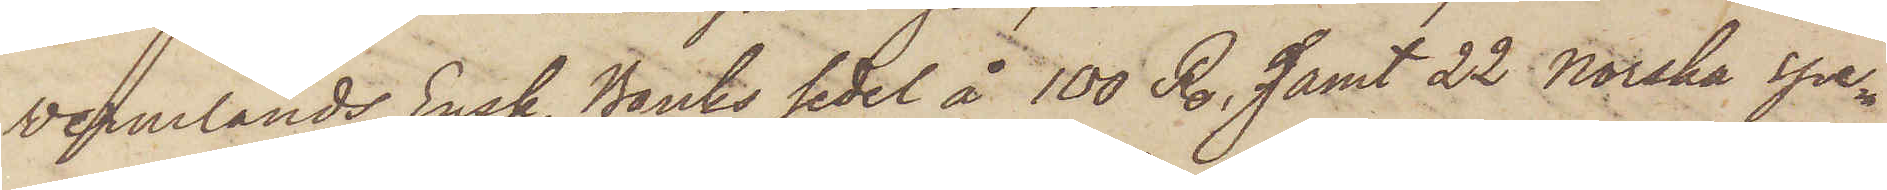Vermlands Ensk. Banks sedel å 100 R., samt 22  Norska Spe¬
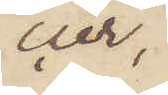cier,
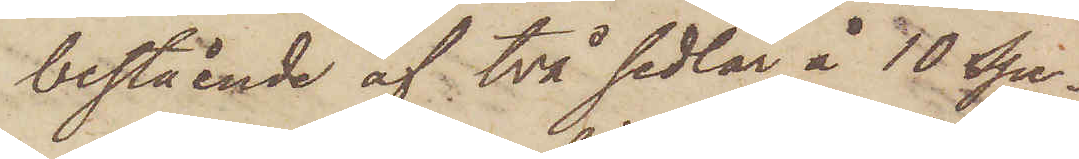bestående af två sedlar å 10 Spe¬
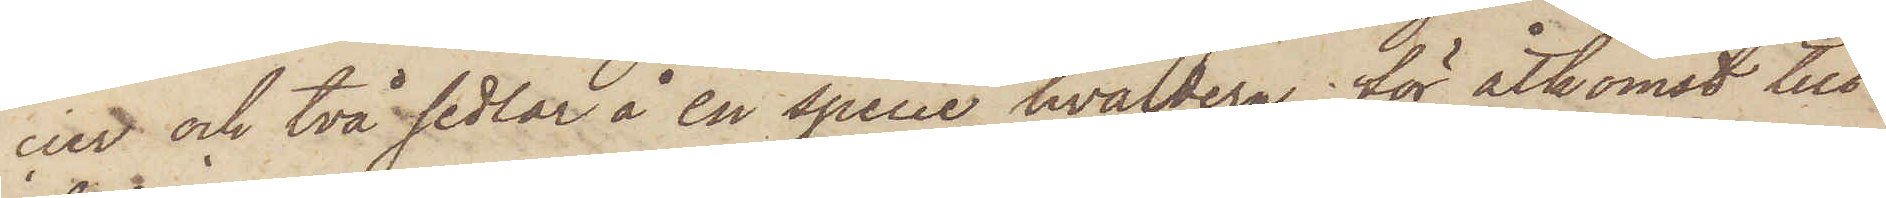ner och två sedlar å en specie hvardera, för åtkomst till
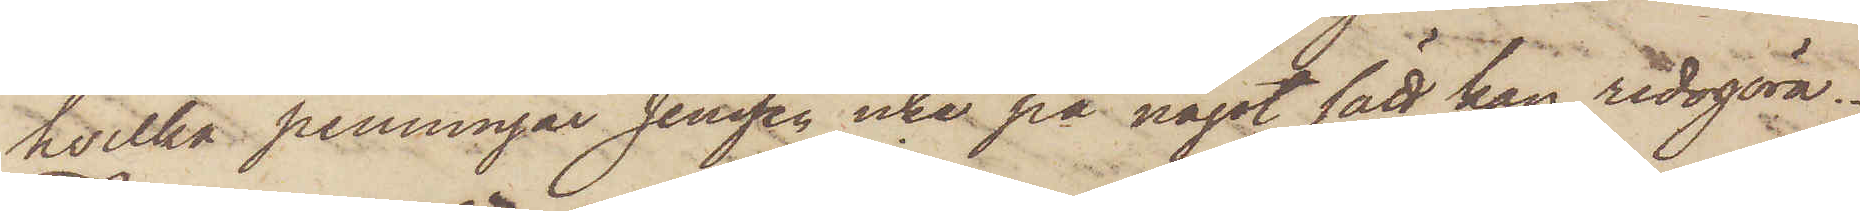hvilka penningar Jenssen icke på något sätt kan redogöra.
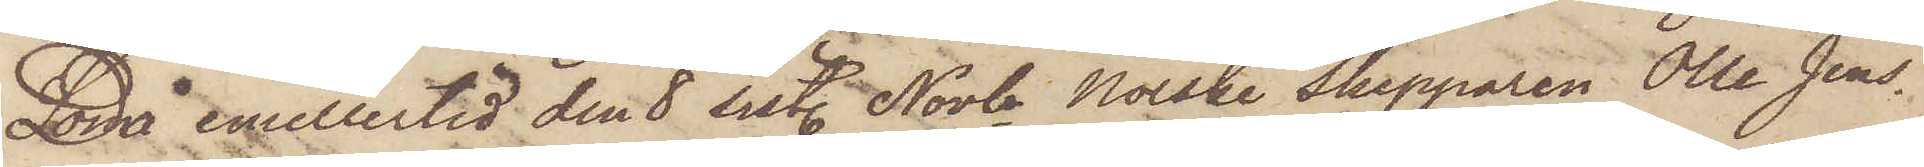Då emellertid den 8 sist. Novbr. Norske Skepparen Olle Jens¬
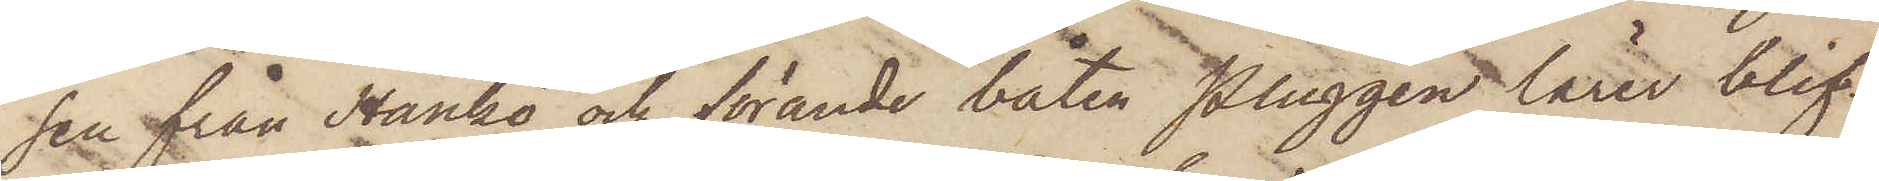sen från Hankö och förande båten Pluggen lärer blif¬
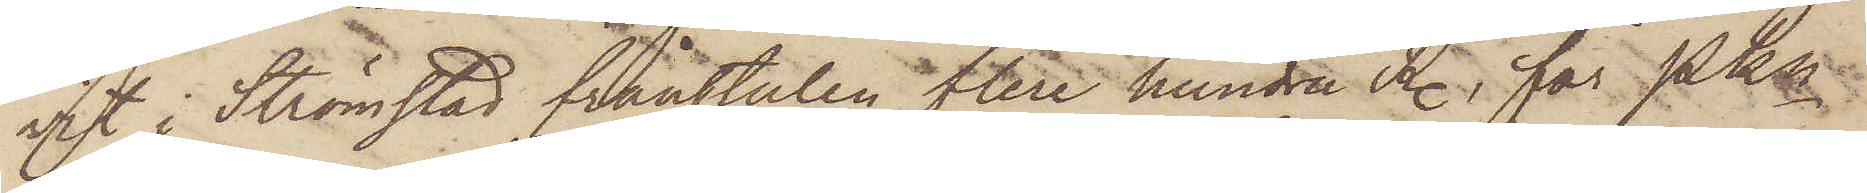vit i Strömstad frånstulen flera hundra R., får PKn
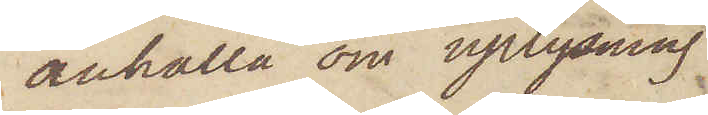anhålla om uplysning
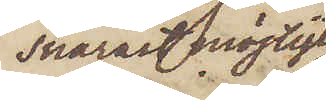snarast möjligt
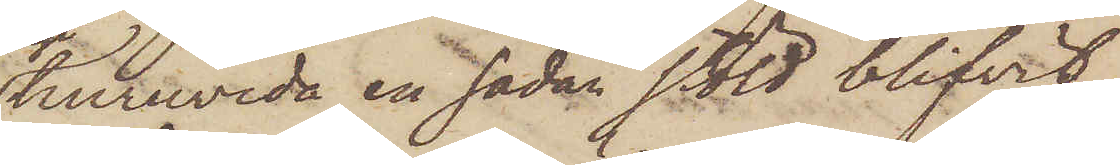huruvida en sådan stöld blifvit
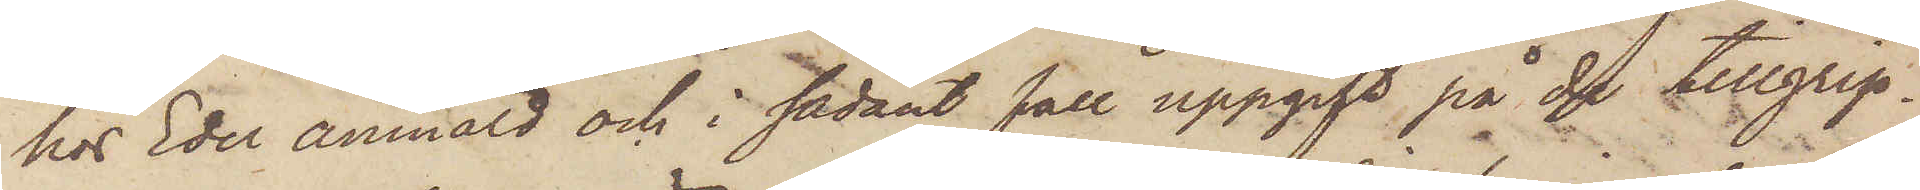hos Eder anmäld och i sådant fall uppgift på de tillgrep¬
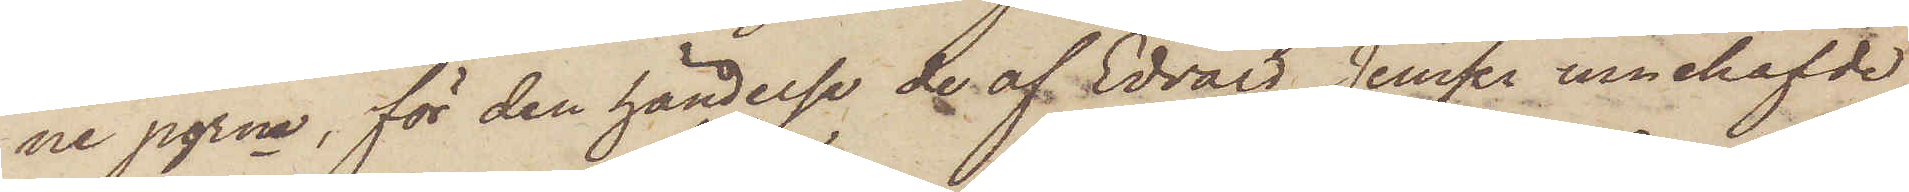ne pgrne, för den händelse de af Edvard Jenssen innehafvde
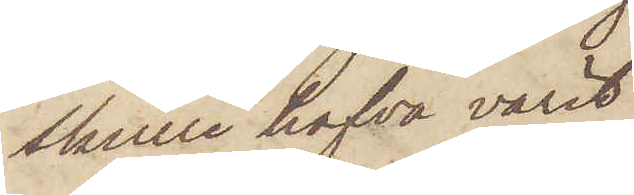skulle hafva varit
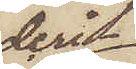deri¬
